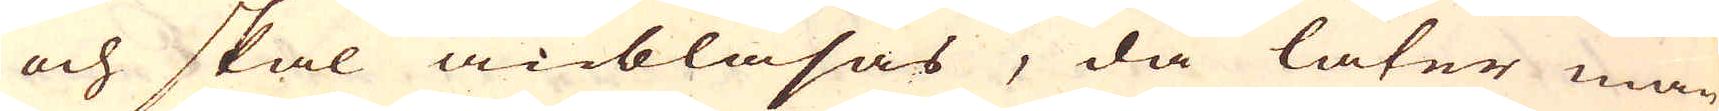och skal anblåsas, då låter man
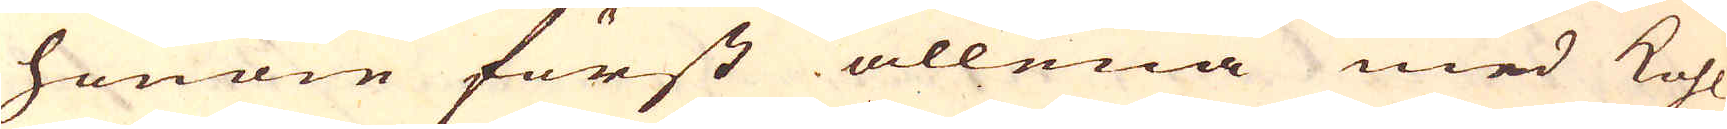honom först allena med kohl
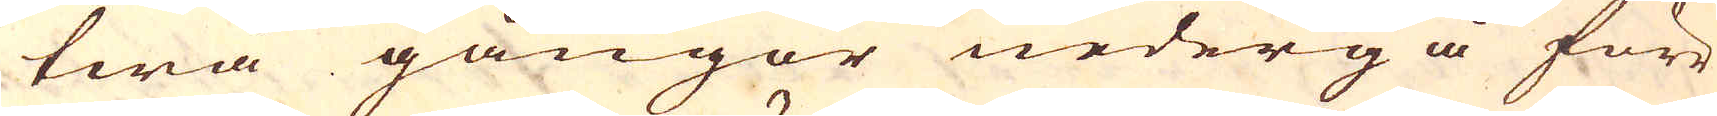twå gångor nedergå förr
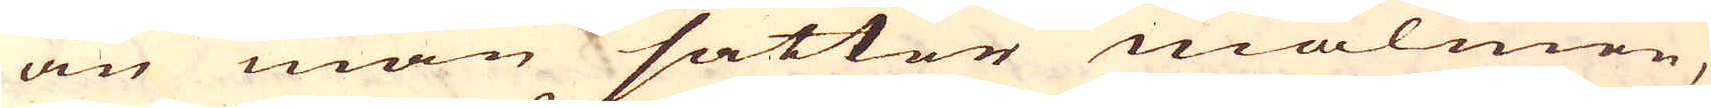än man sätter malmen,
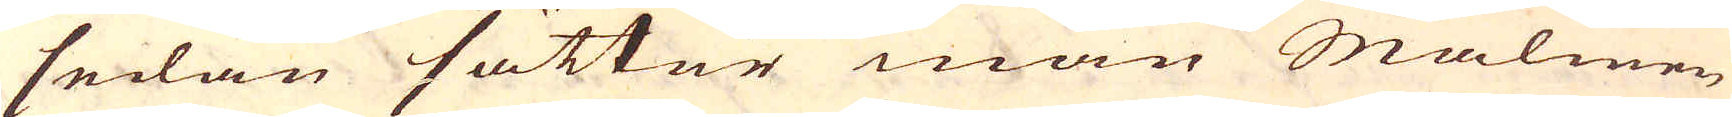sedan sätter man Malmen
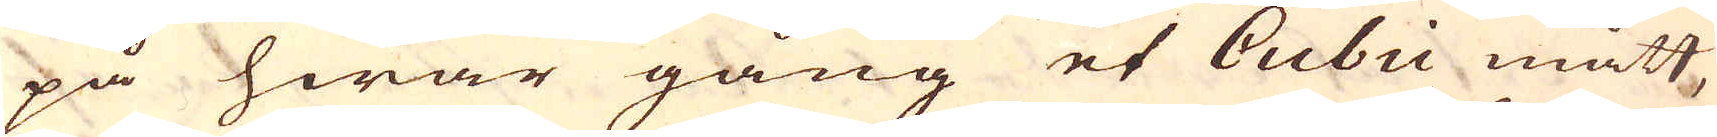på hwar gång et Cubii mått,
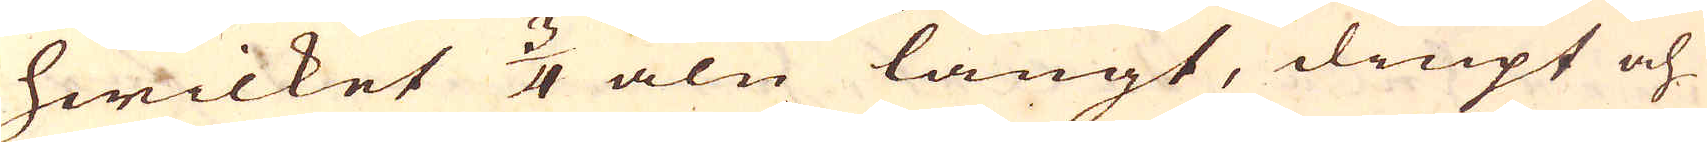hwilket 3/4 aln långt, diupt och
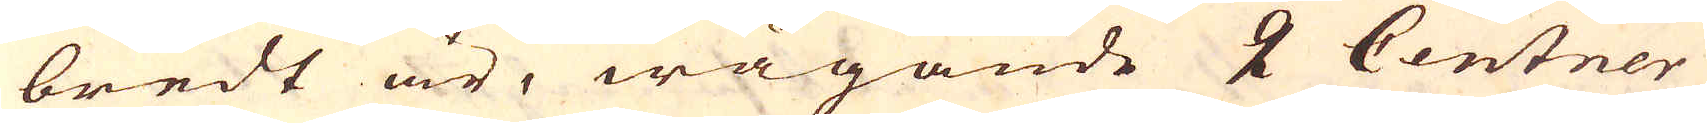bredt är, wägande 2 Centner
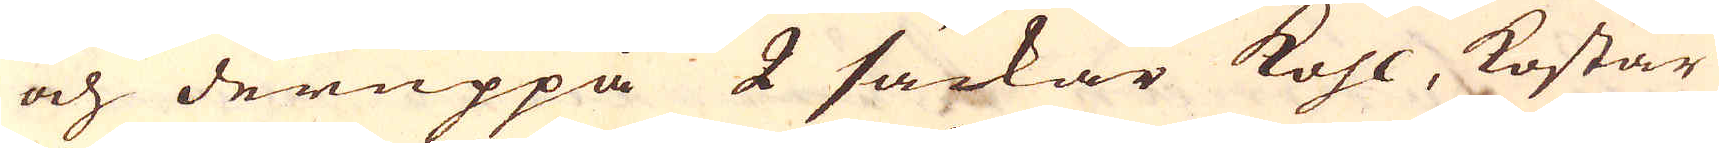och deruppå 2 säckar kohl, kostar
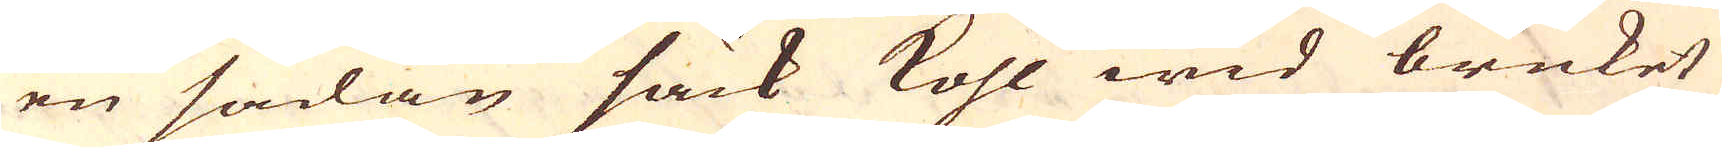en sådan säck kohl wid bruket
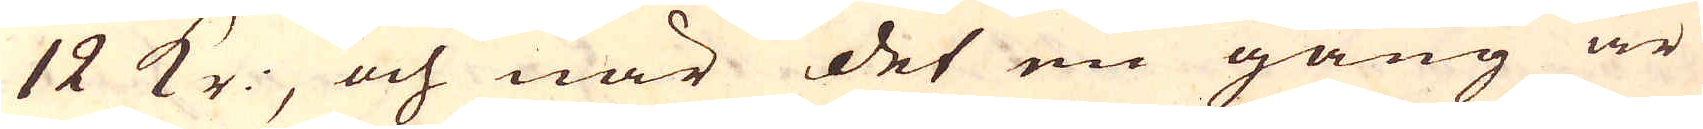12 Kr:, och när det en gång är
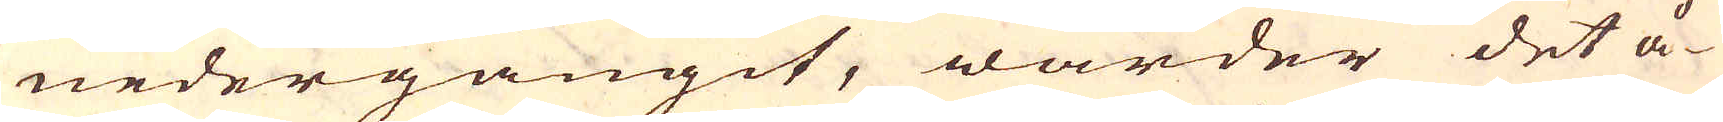nedergångit, warder det å-
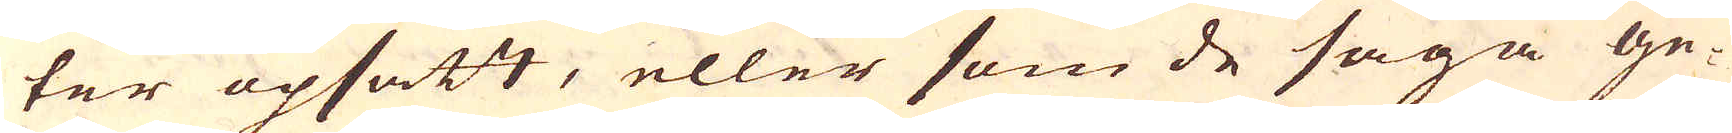ter upsatt, eller som de säga ge-
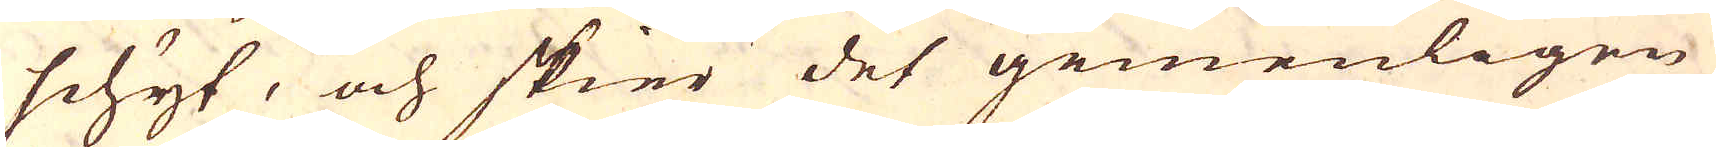schyt, och skier det gemenligen
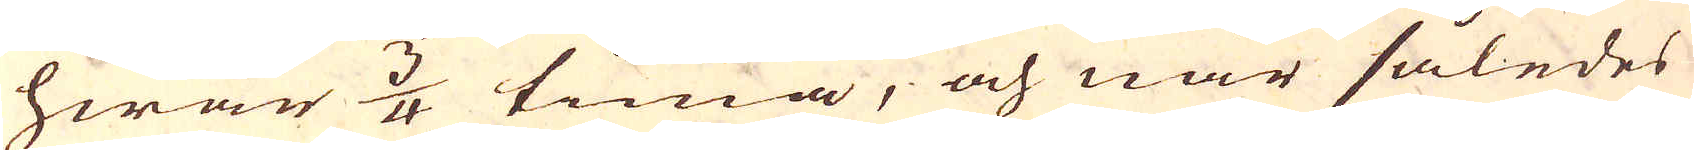hwar 3/4 tima, och när således
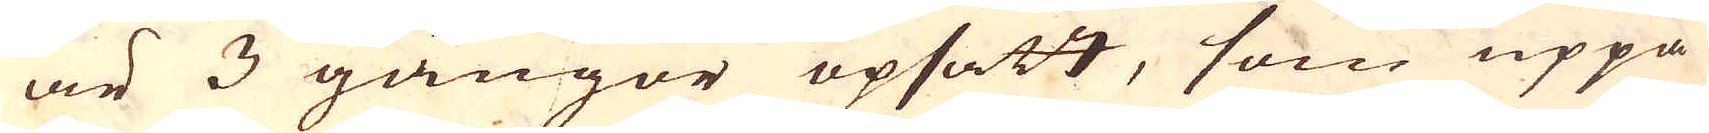är 3 gångor opsatt, som uppå
